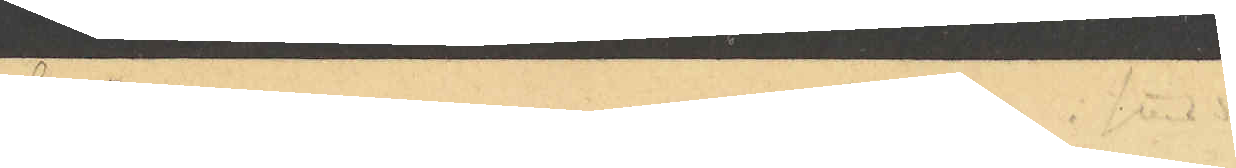hvilken numera icke vistas här i staden     
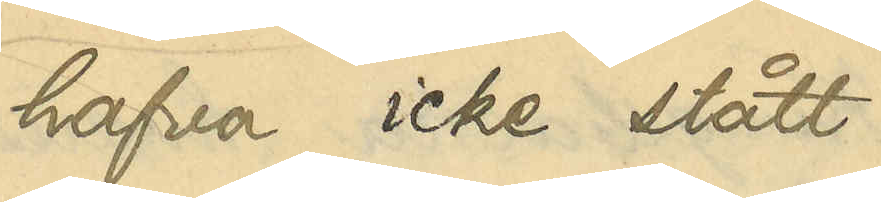hafva icke stått
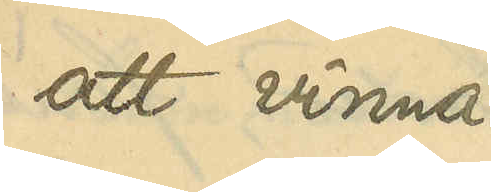att vinna.
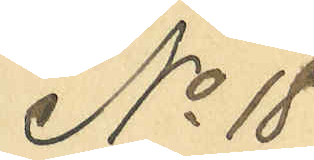No 18
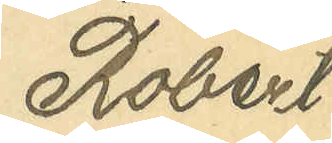Robert
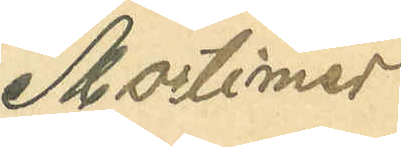Mortimer
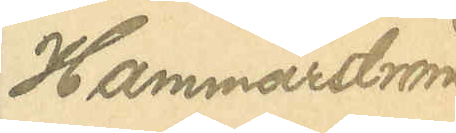Hammarström
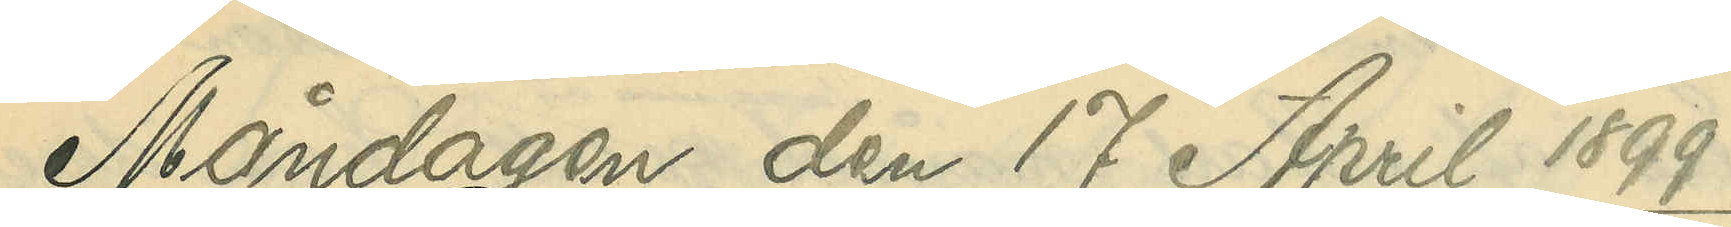Måndagen den 17 April 1899
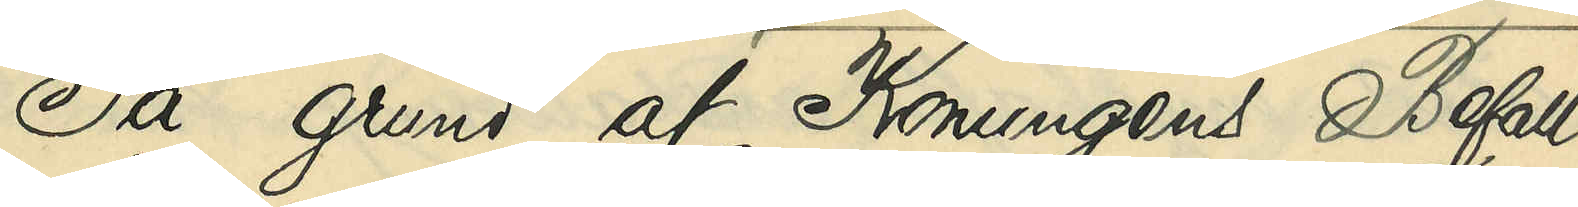På grund af Konungens Befall¬
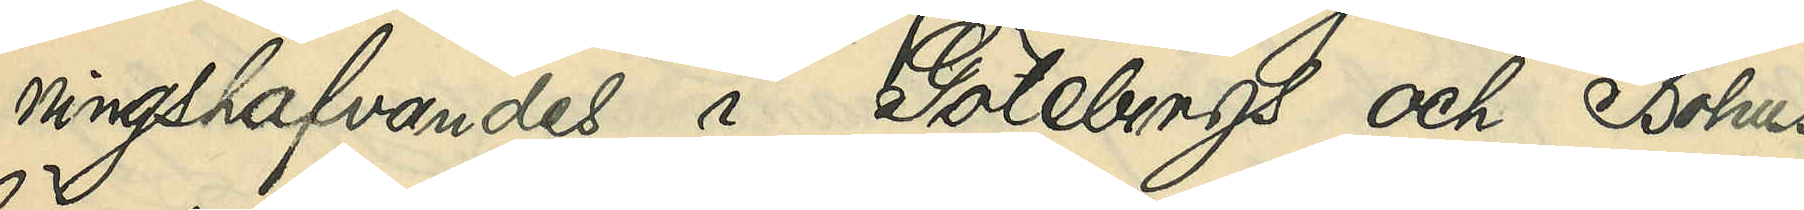ningshafvandes i Göteborgs och Bohus
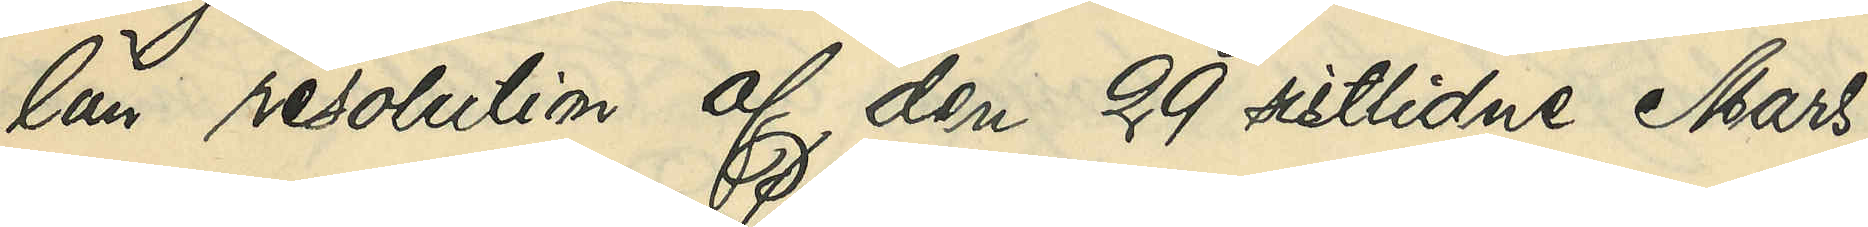län resolution af den 29 sistlidne Mars,
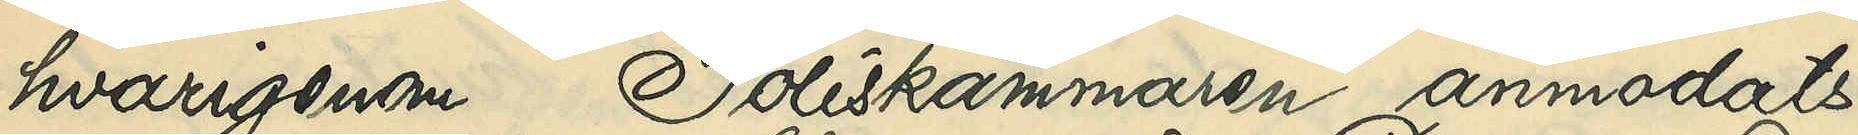havrigenom Poliskammaren anmodats
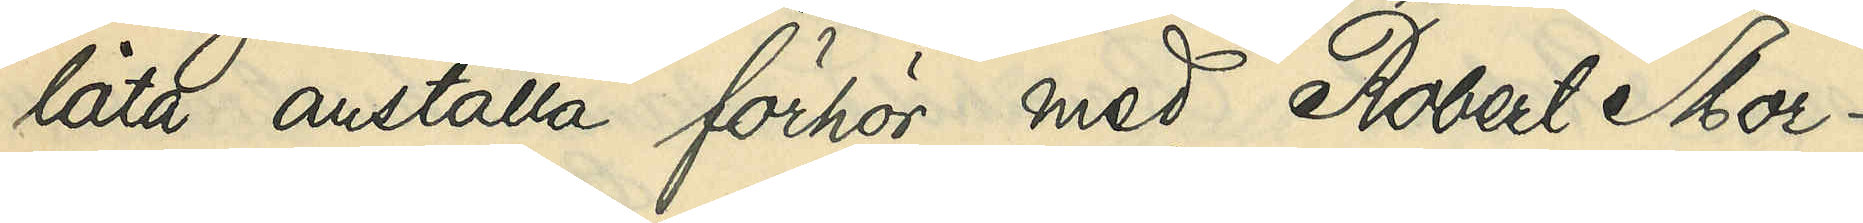låta anställa förhör med Robert Mor¬
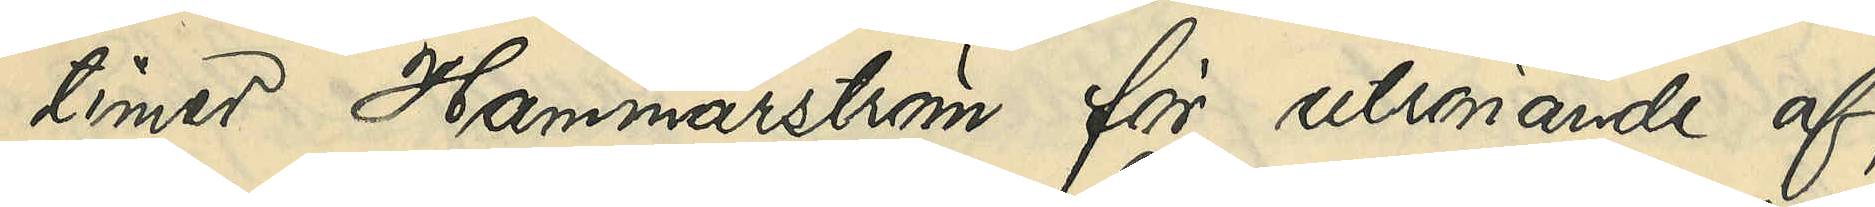timer Hammarström för utrönande af
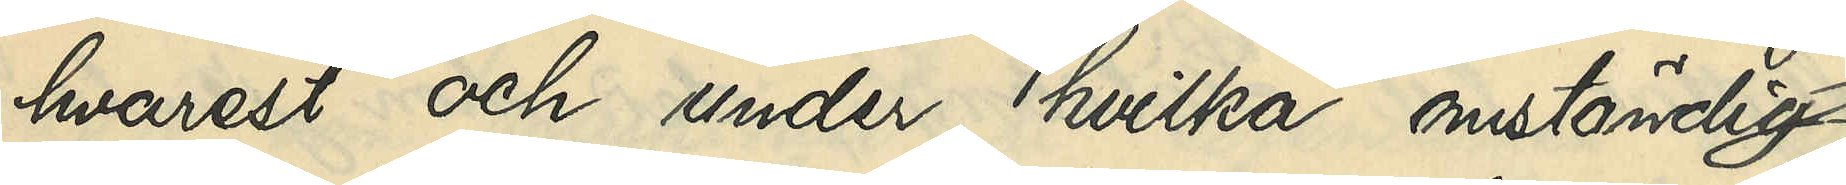hvarest och under hvilka omständig¬
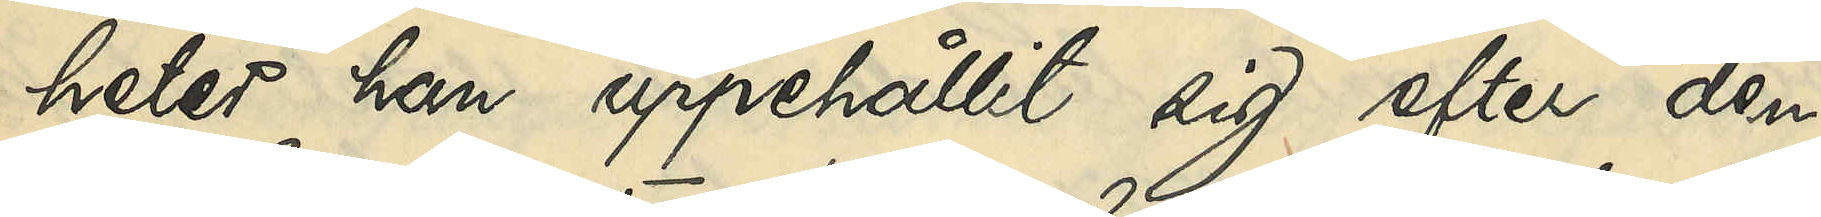heter han uppehållit sig efter den
